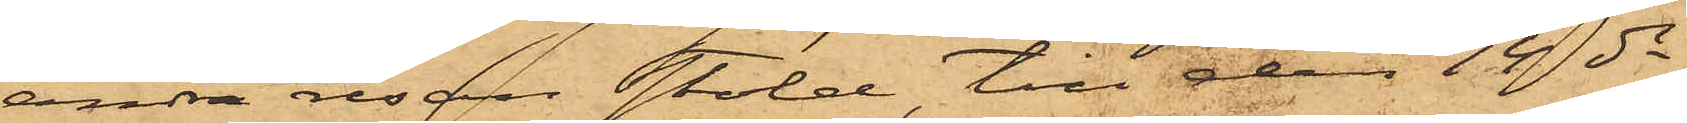andra resan stöld, till den 14 ds
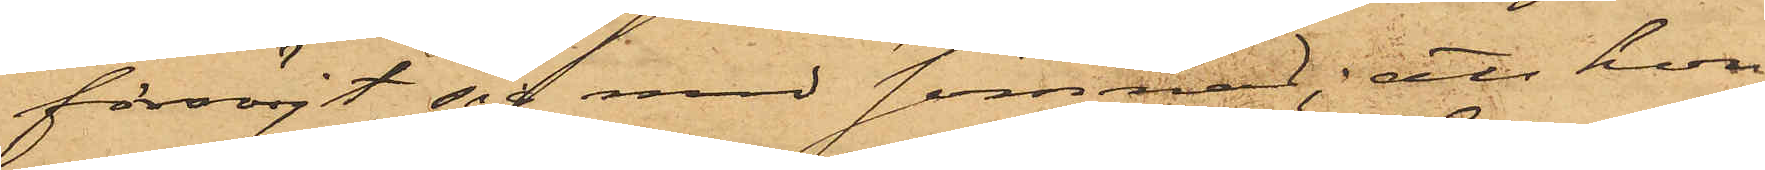försörjt sig med sömnad; att hon
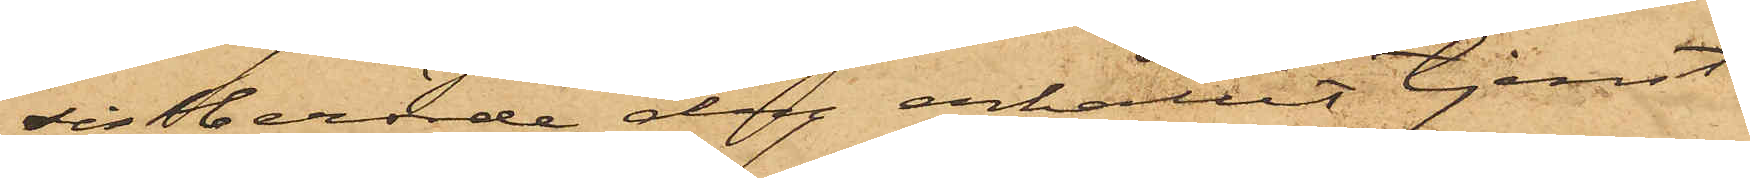sistberörde dag erhållit tjenst
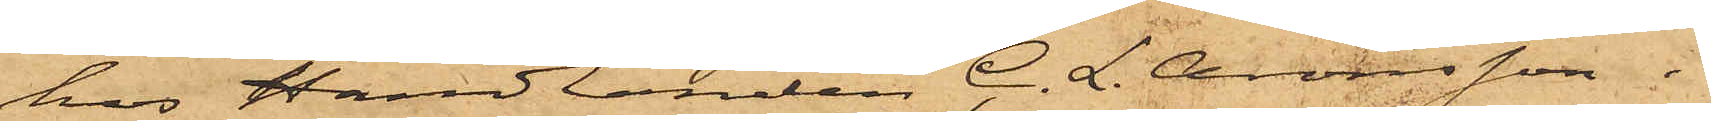hos Handlanden C. L. Aronsson i
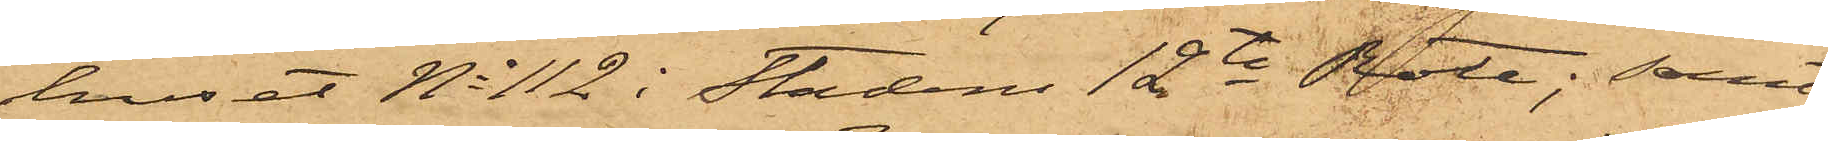huset No 112 i Stadens 12te Rote; samt
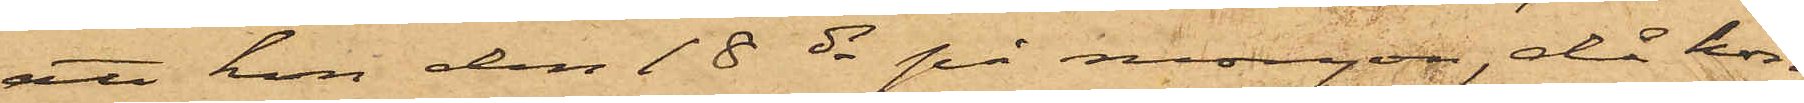att hon den 18 ds på morgon, då hon
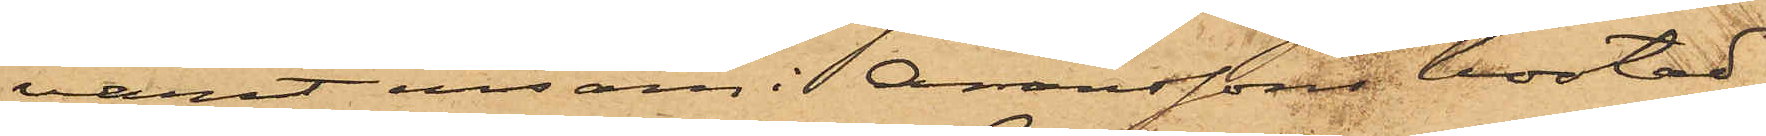varit ensam i Aronssons bostad,
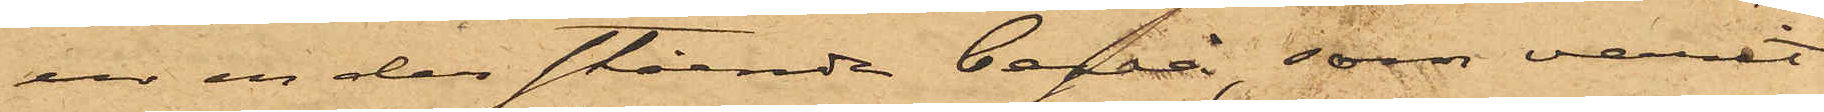ur en der stående byrå, som varit
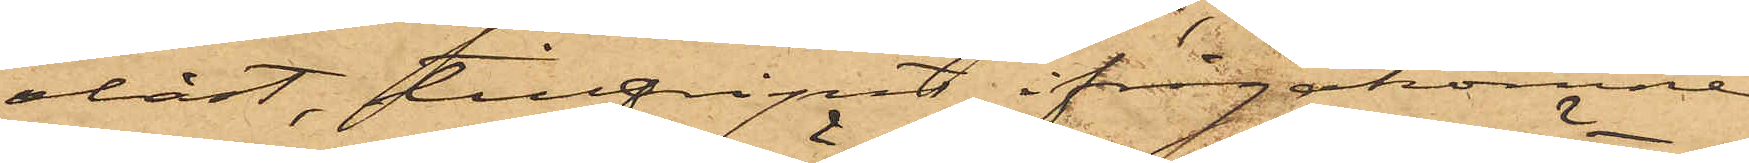olåst, tillgripit ifrågakomne
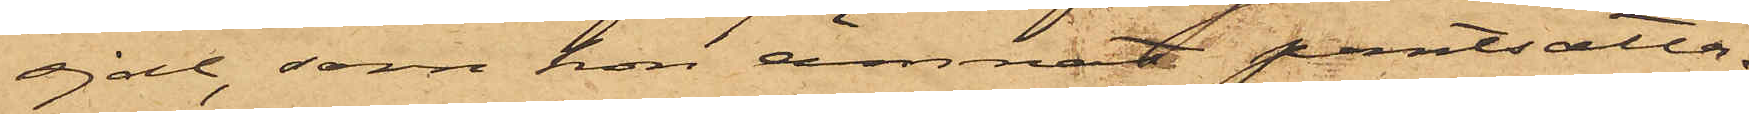sjal, som hon ämnat pantsätta.
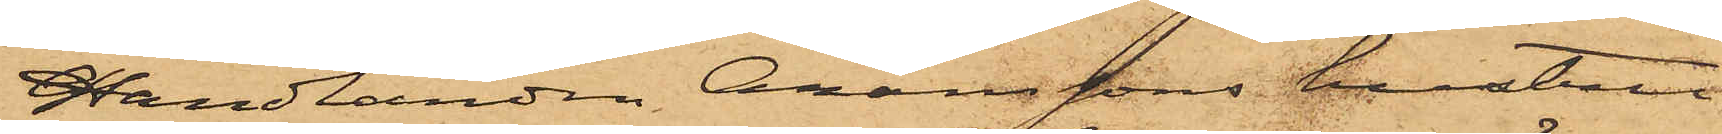Handlanden Aronssons hustru
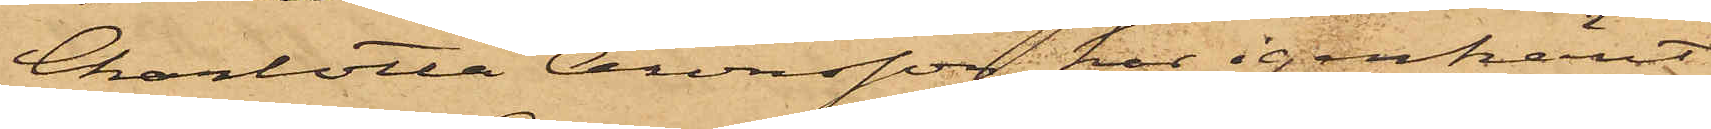Charlotta Aronsson har igenkänt
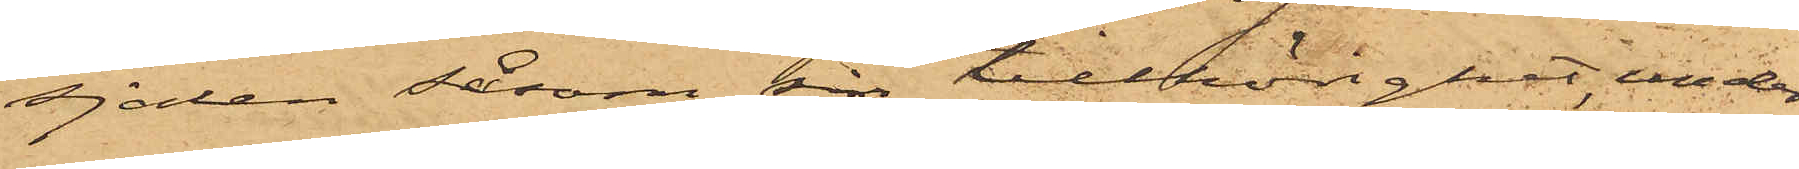sjalen såsom sin tillhörighet under
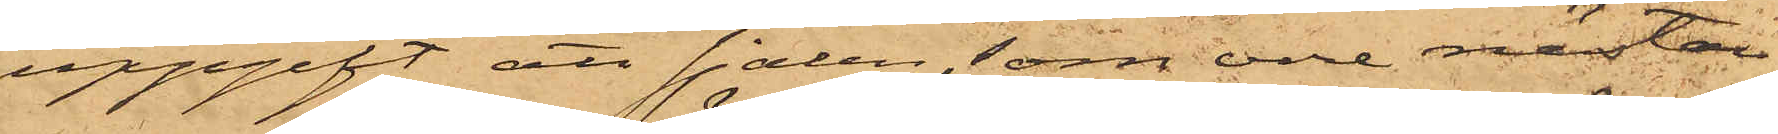uppgift att sjalen, som vore nästan
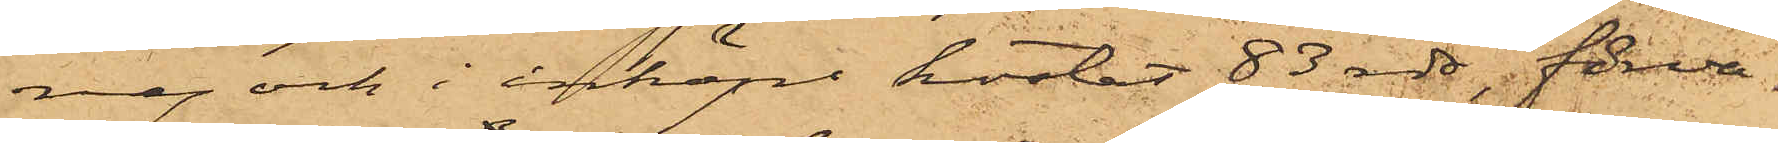ny och i inköp kostat 83 rdr, förva¬
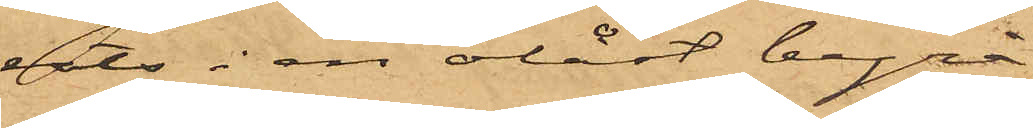rats i en olåst byrå.
